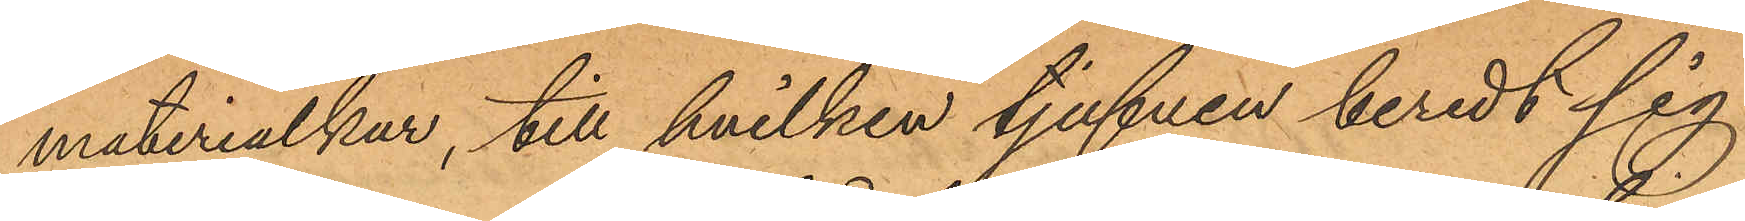materialkur, till hvilken tjufven beredt sig
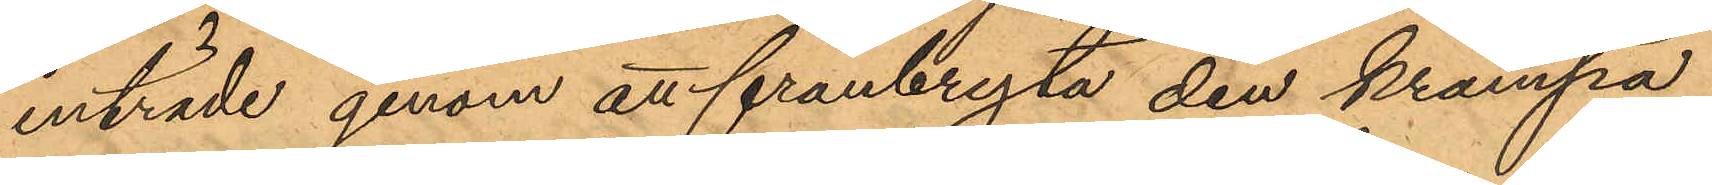inträde genom att frånbryta den krampa,
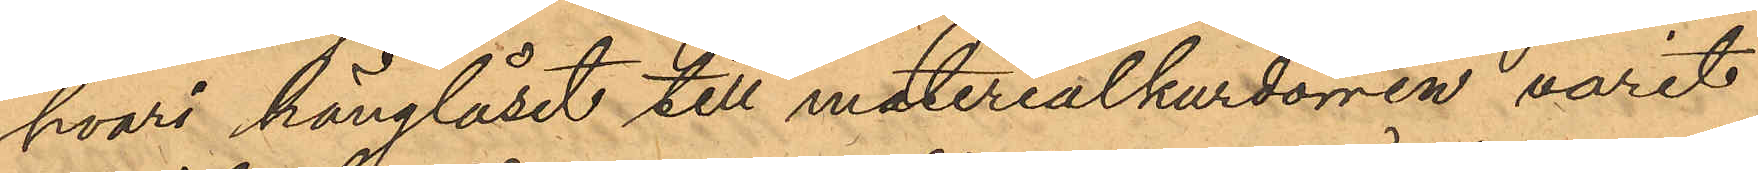hvari hänglåset till materialkurdörren varit
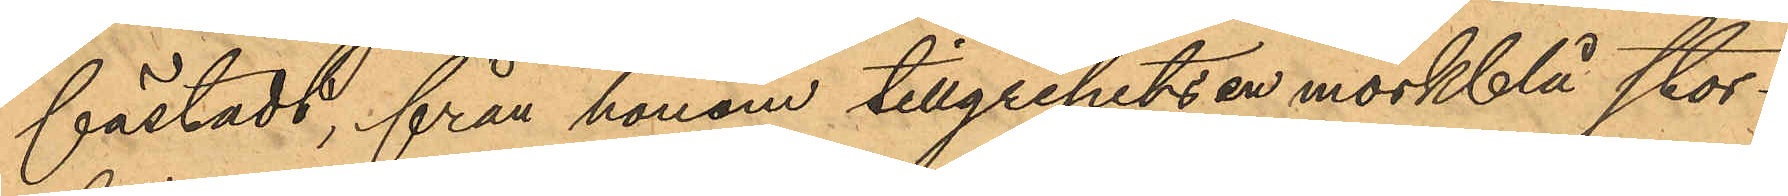fästadt, från honom tillgripits en mörkblå stor¬
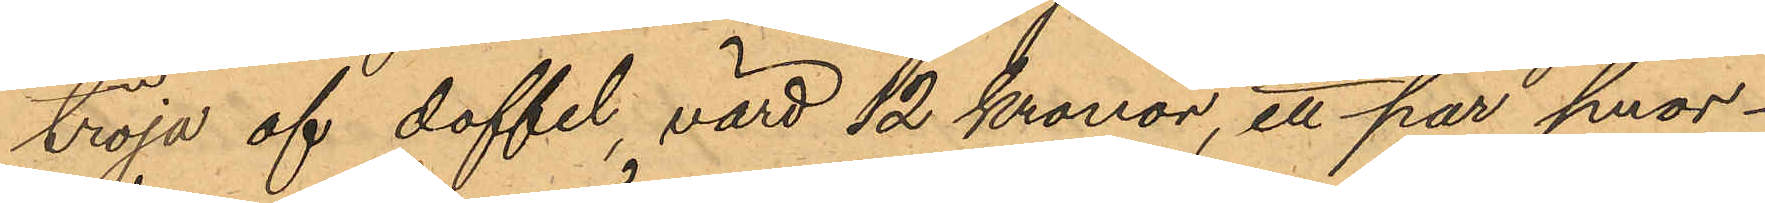tröja af doffel, värd 12 Kronor, ett par smor¬
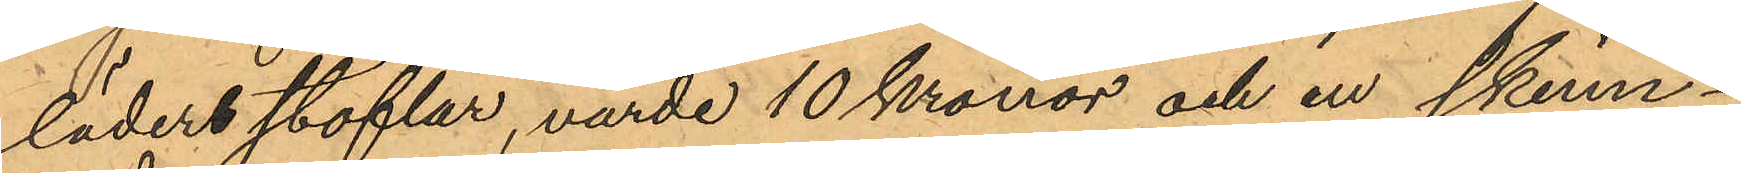lädersstöflar, värde 10 Kronor och en skinn¬
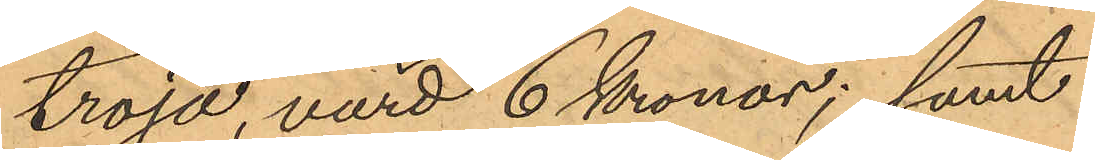tröja, värd 6 Kronor; samt
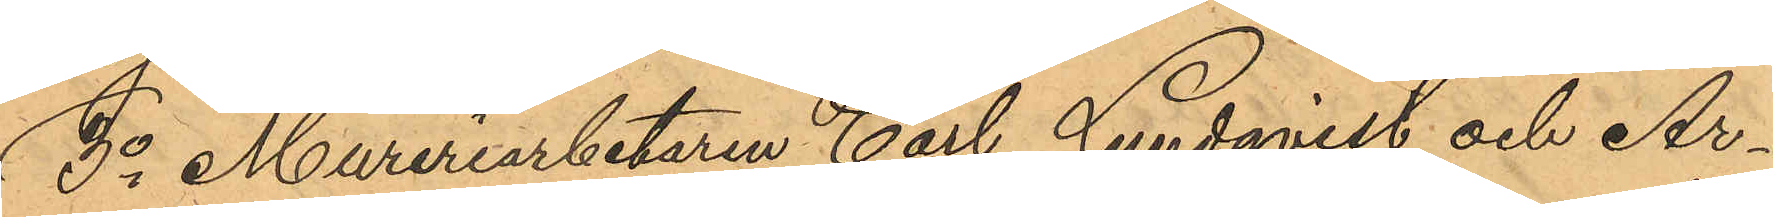3o Mureriarbetaren Carl Lundqvist och Ar¬
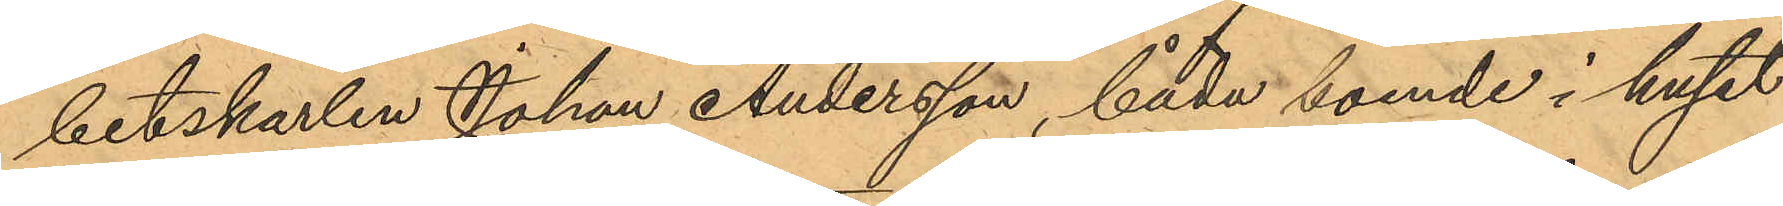betskarlen Johan Andersson, båda boende i huset
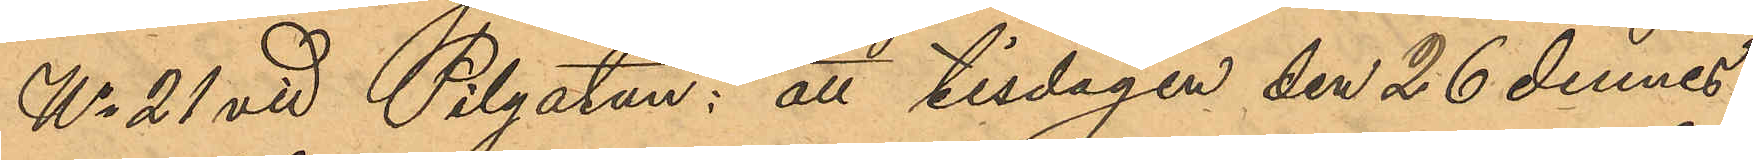No 21 vid Pilgatan; att tisdagen den 26 dennes
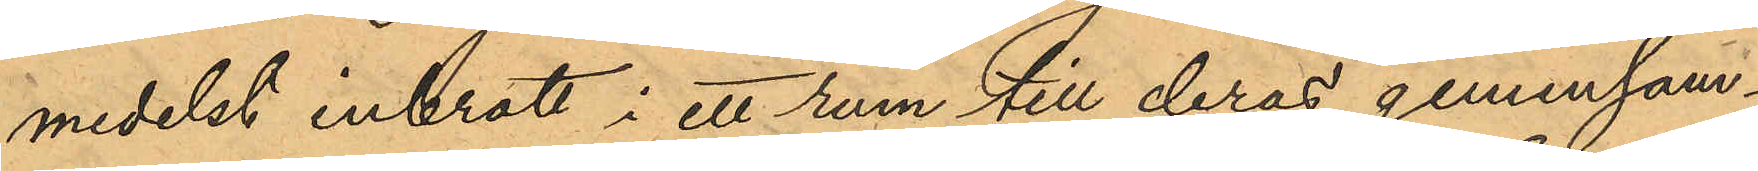medelst inbrott i ett rum till deras gemensam¬
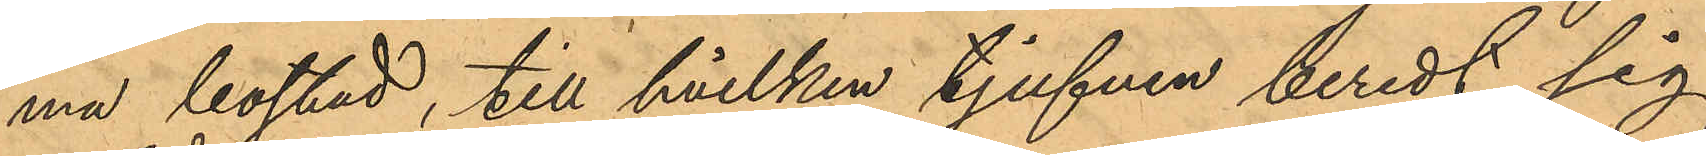ma bostad, till hvilken tjufven beredt sig
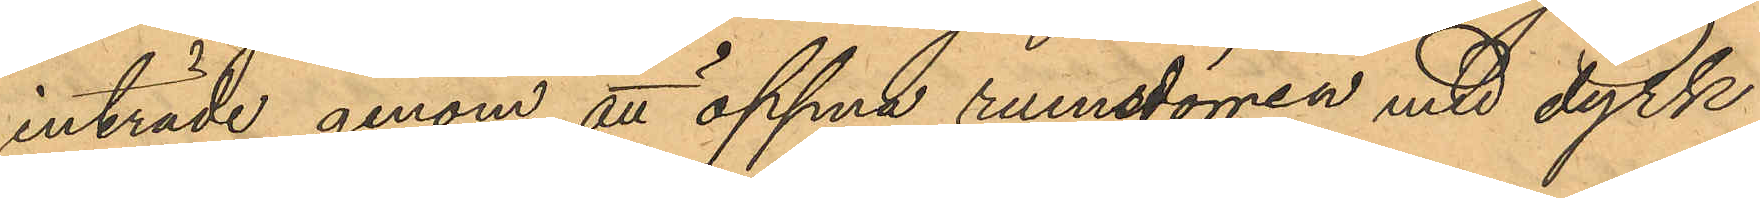inträde genom att öppna rumsdörren med dyrk
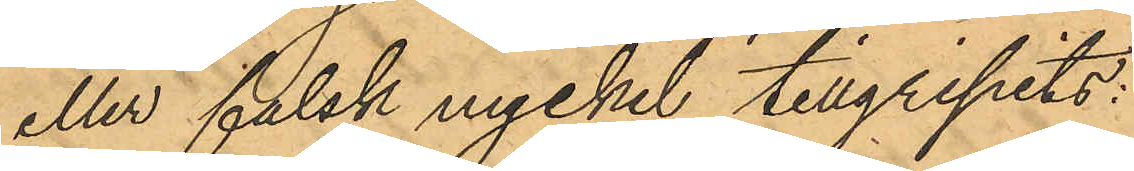eller falsk nyckel tillgripits:
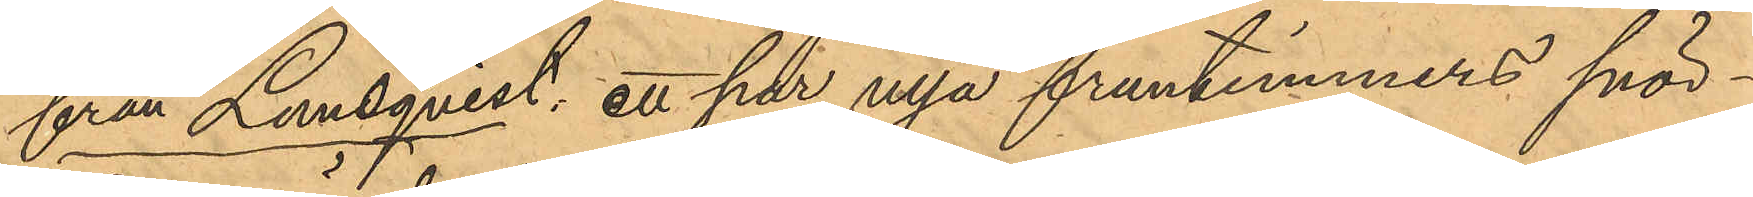från Lundqvist: ett par nya fruntimmers snör¬
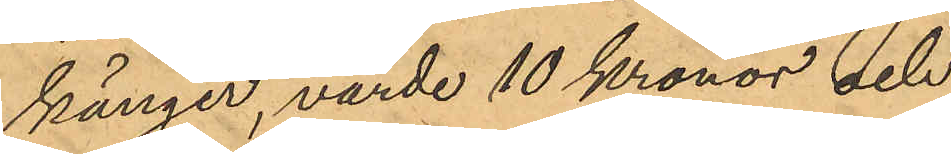känger, värde 10 Kronor och
